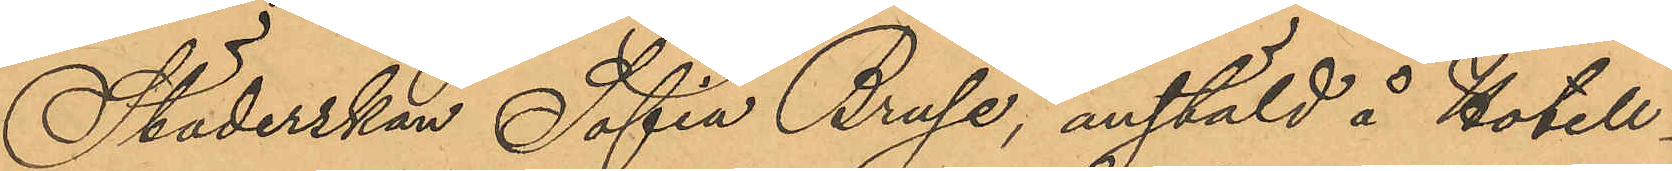Städerskan Sofia Bruse, anstäld å Hotell
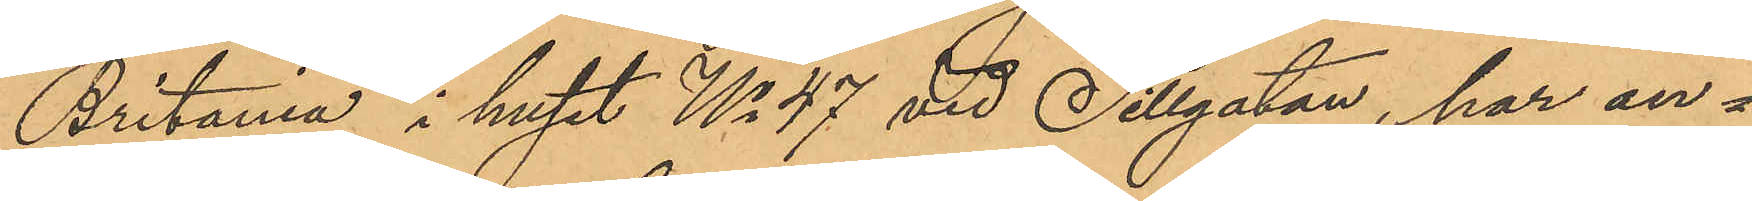"Britania" i huset No 47 vid Sillgatan, har an¬
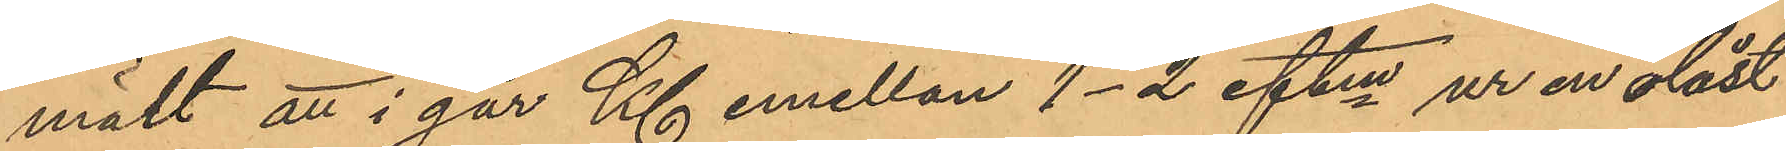mält att i går Kl emellan 1-2 eftm ur en olåst
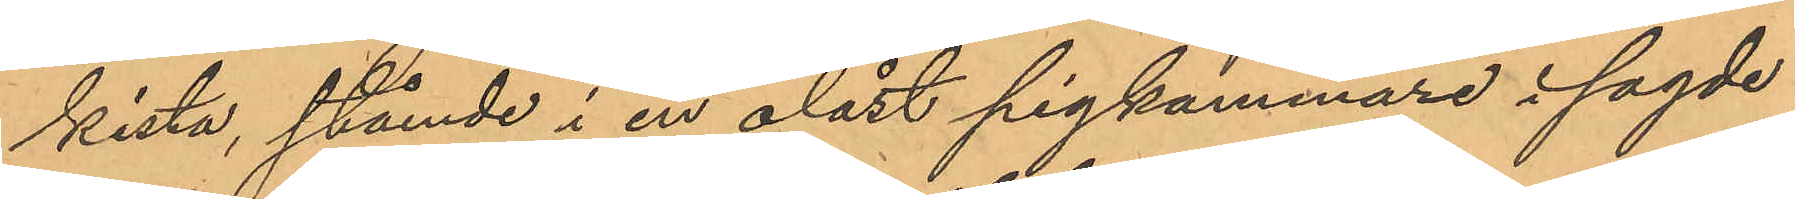kista, stående i en olåst pigkammare i sagde
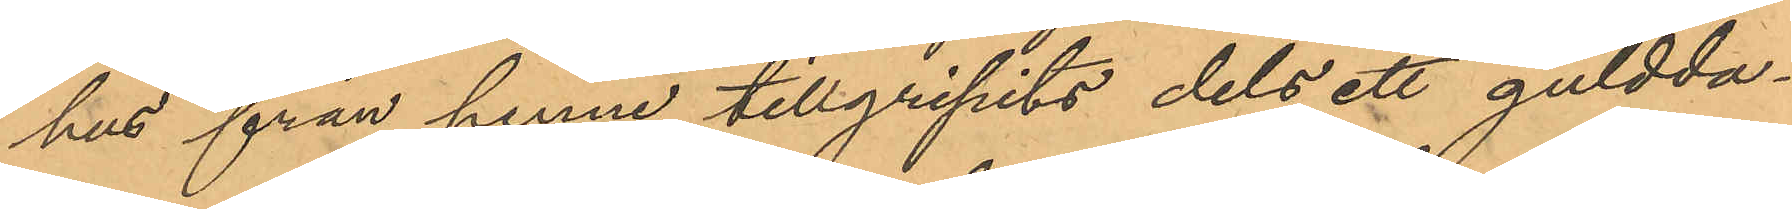hus från henne tillgripits dels ett guldda¬
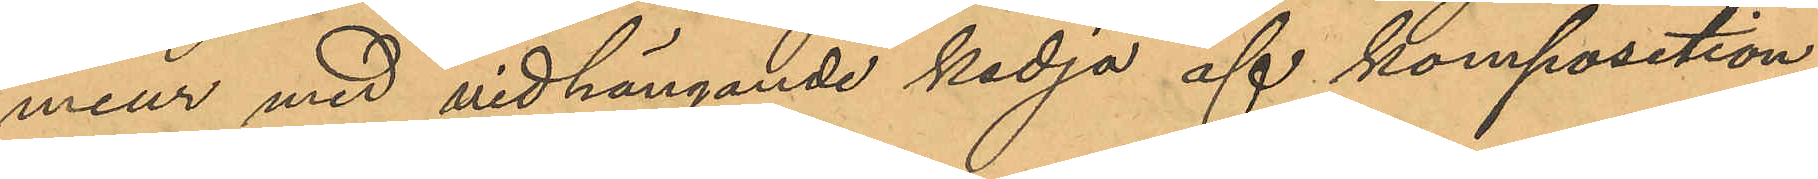meur med vidhängande kedja af komposition,
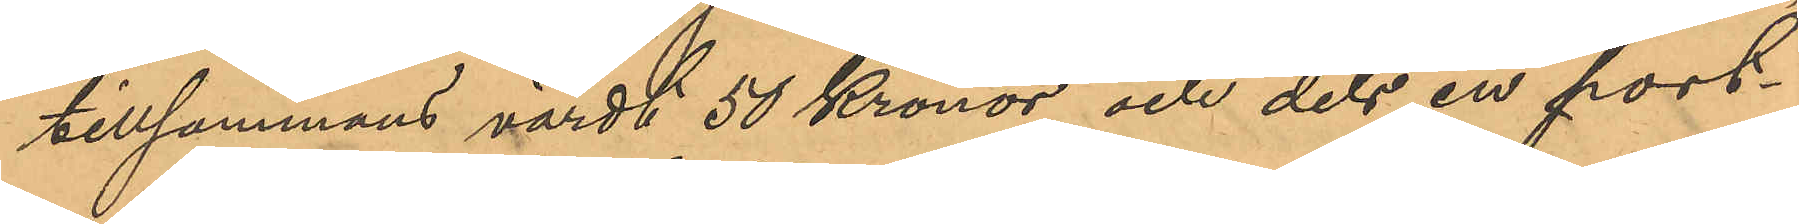tillsammans värdt 50 Kronor, och dels en port¬
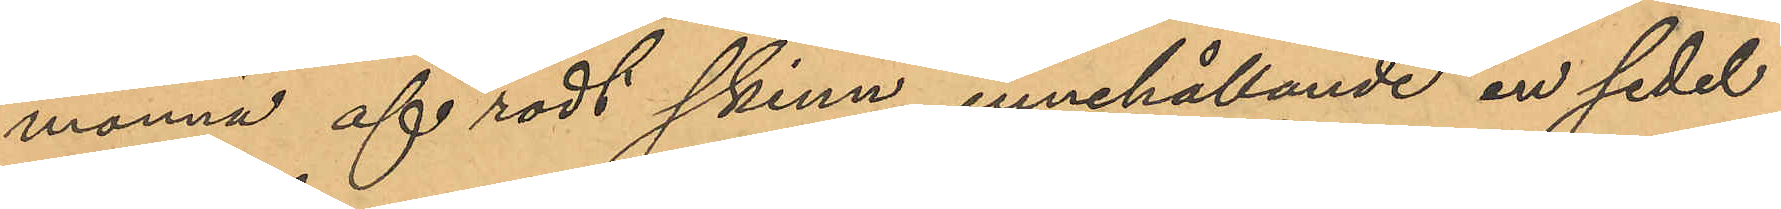monnä af rödt skinn, innehållande en sedel
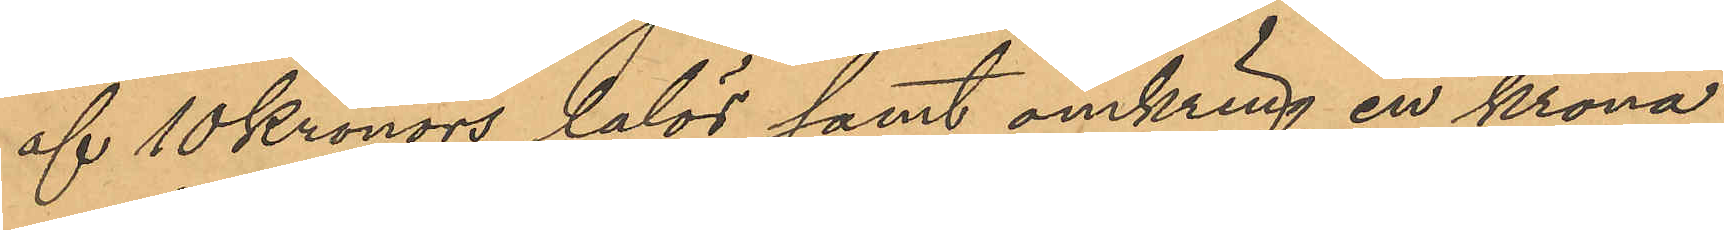af 10 Kronors lalör samt omkring en krona
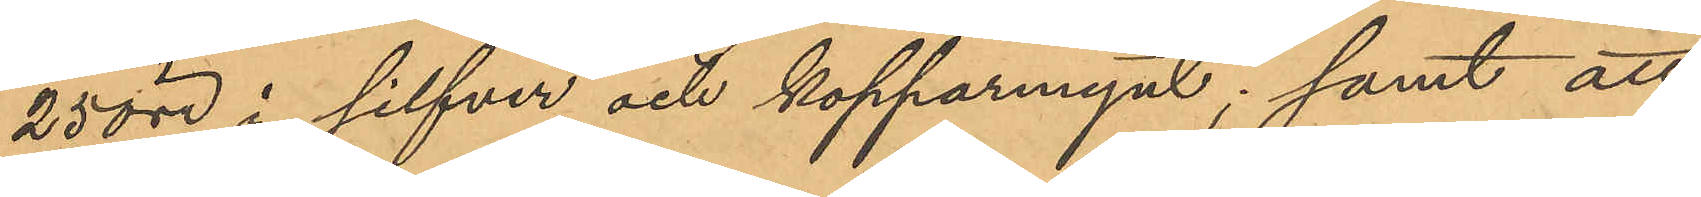25 öre i silfver och kopparmynt; samt att
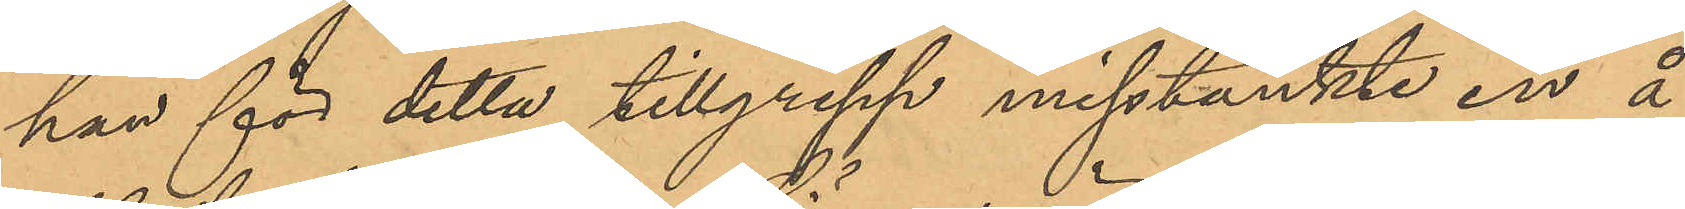hon för detta tillgrepp misstänkte en å
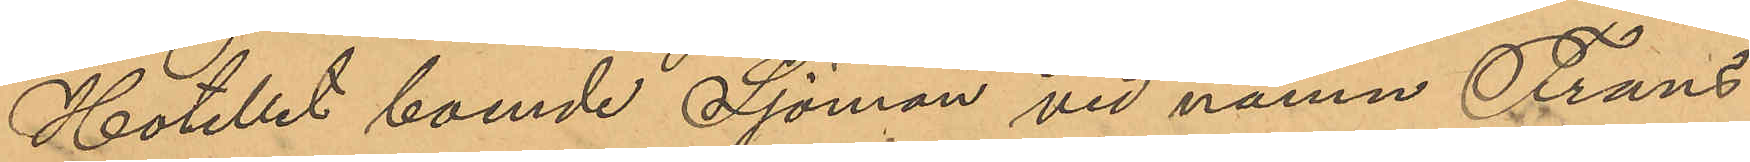Hotellet boende Sjöman vid namn Frans
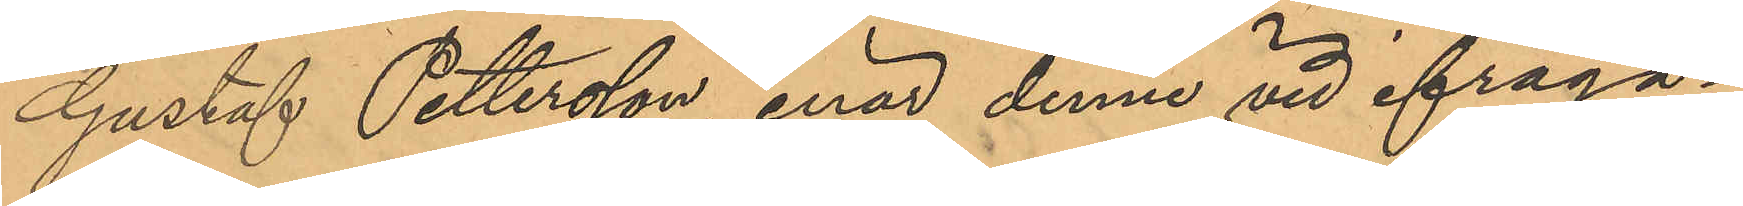Gustaf Pettersson, enär denne vid ifråga¬
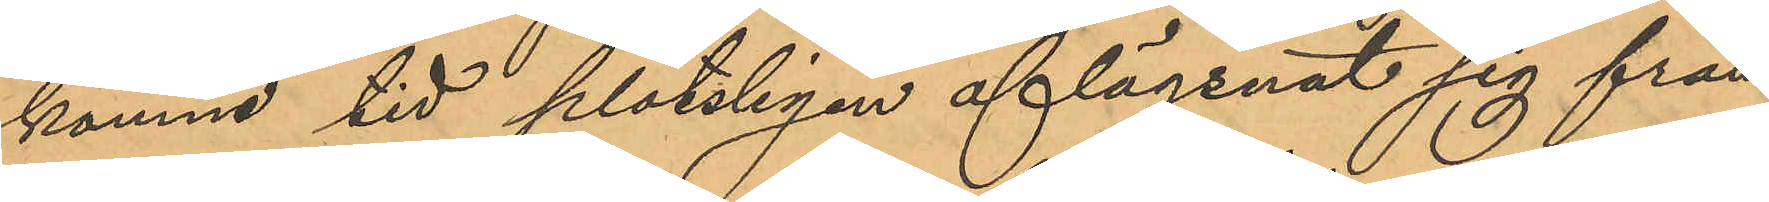komne tid plötsligen aflägsnat sig från
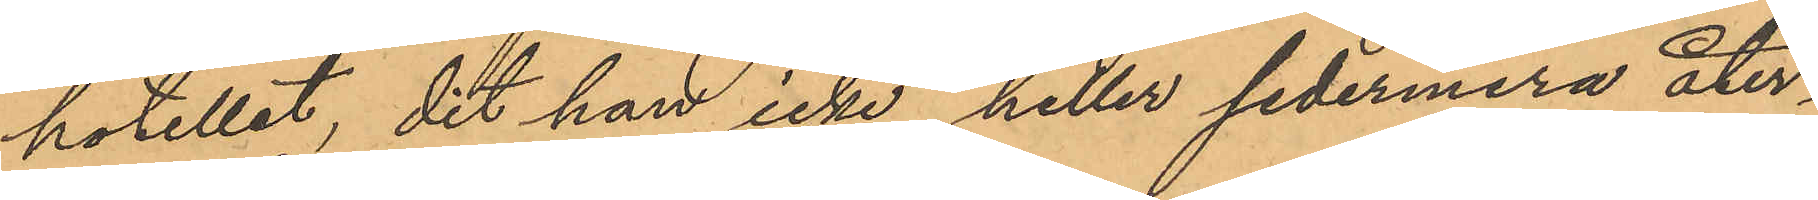hotellet, dit han icke heller sedermera åter¬
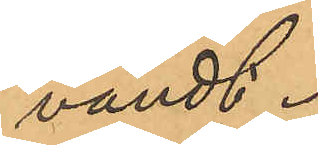vändt.
